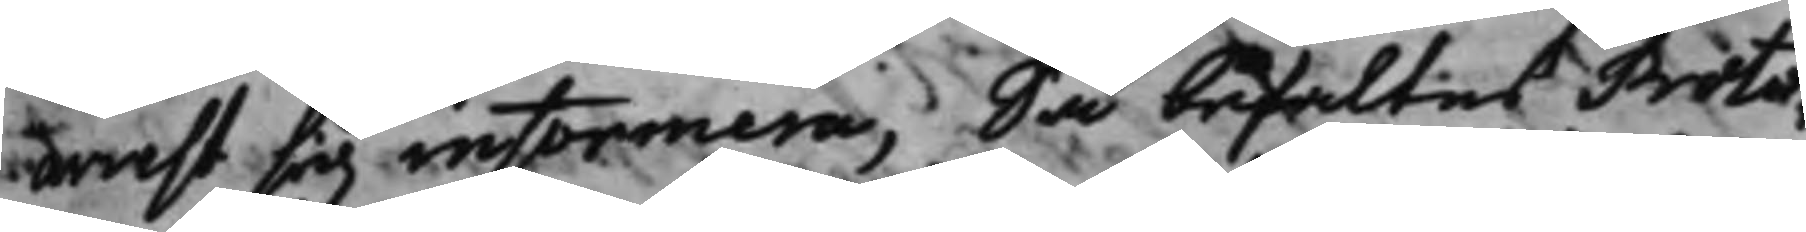arrest sig informera; Så befaltes Proto¬
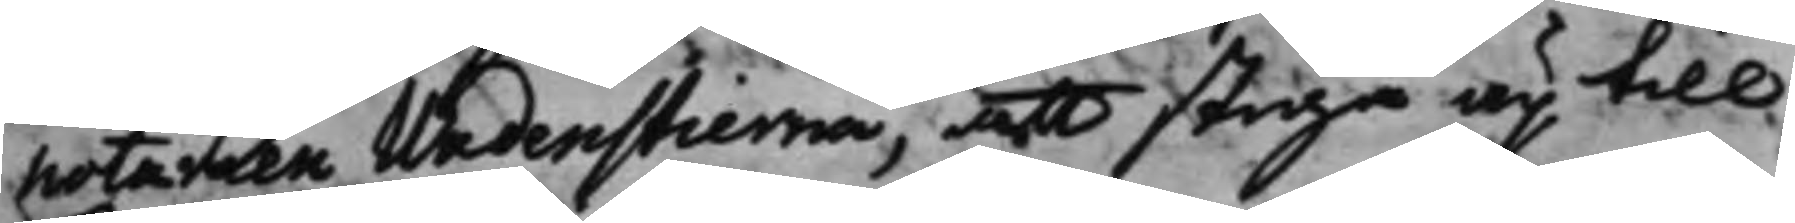notarien Wadenstierna, att stiga up till
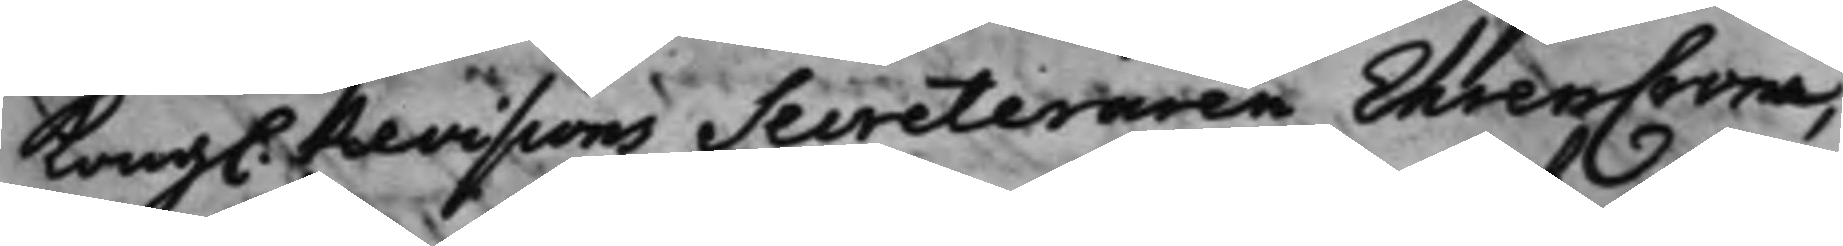Kong. Revisions Secreteraren EhrenCrona,
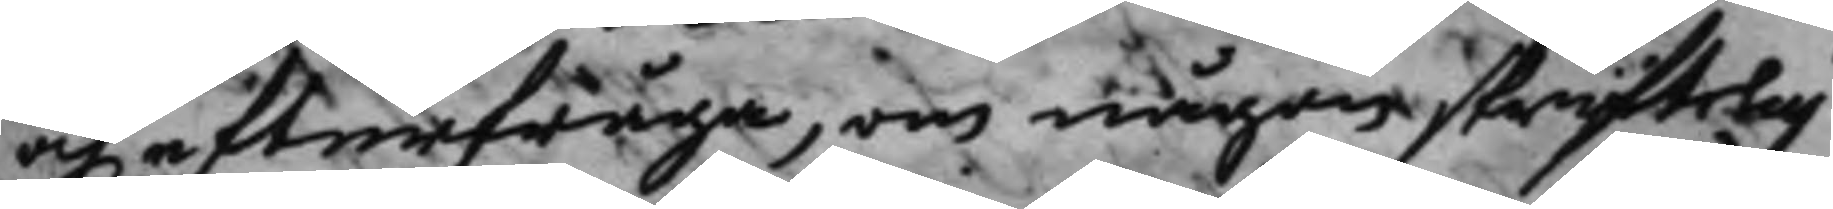och efterfråga, om någon skrifftelig
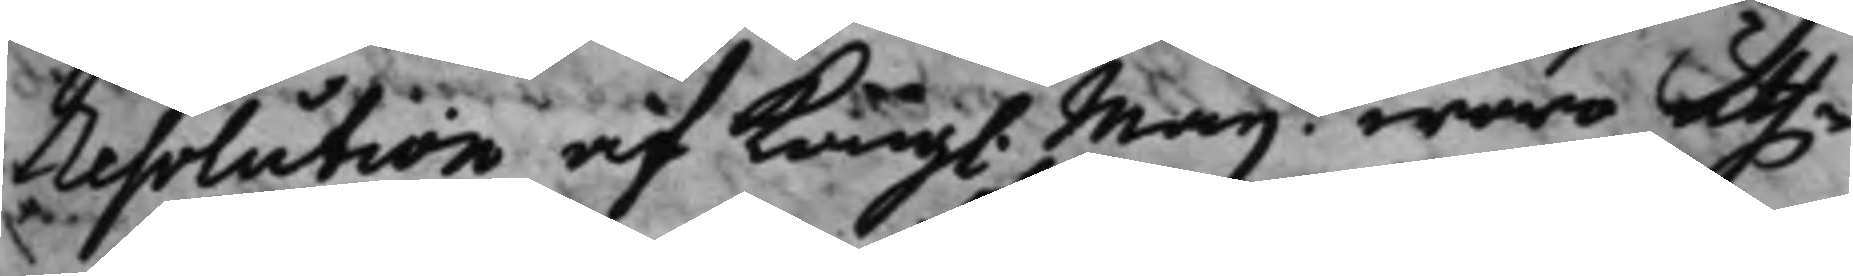resolution af Kong. Maij.t woro uth¬
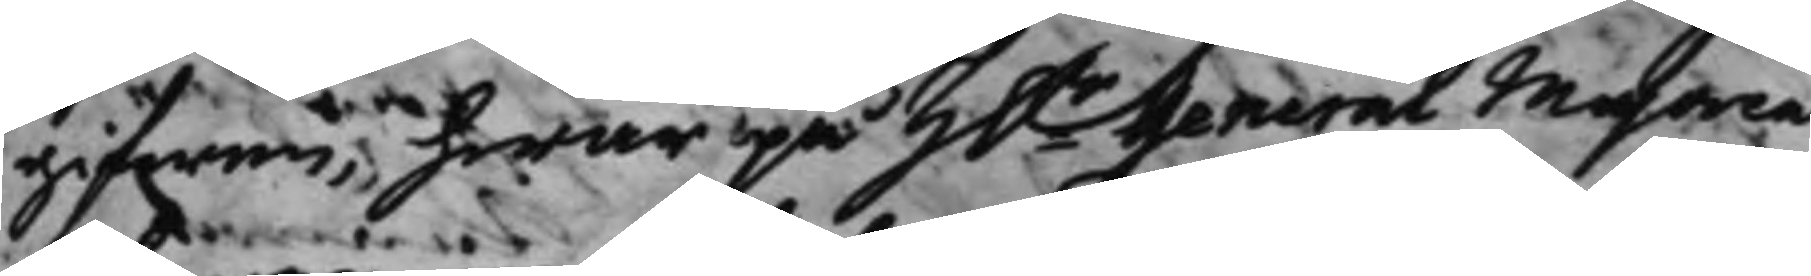gifwen, hwar på h.r General Majoren
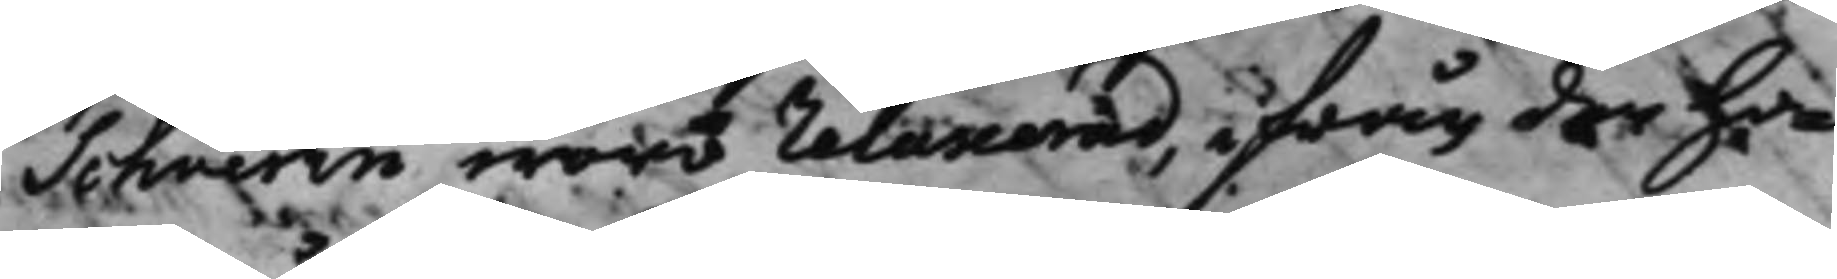Schverin woro relaxerad, ifrån den ho¬
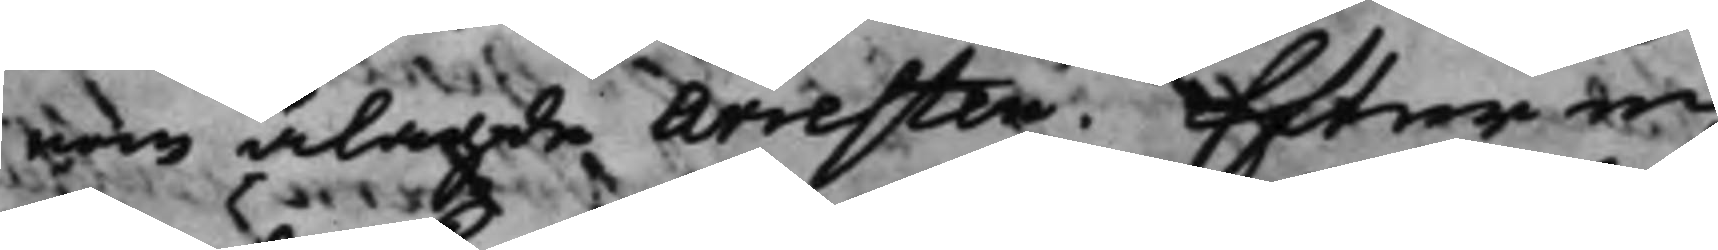nom ålagde arresten. Efter en
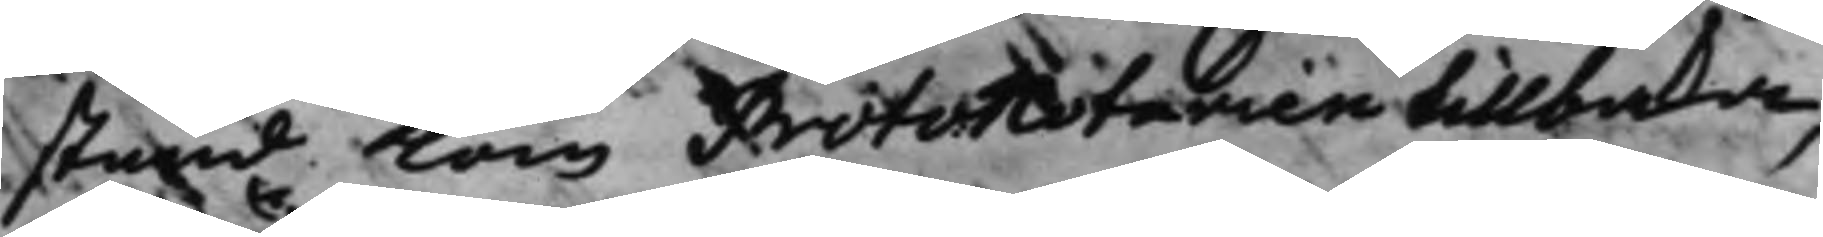stund kom Protonotarien tillbaka,
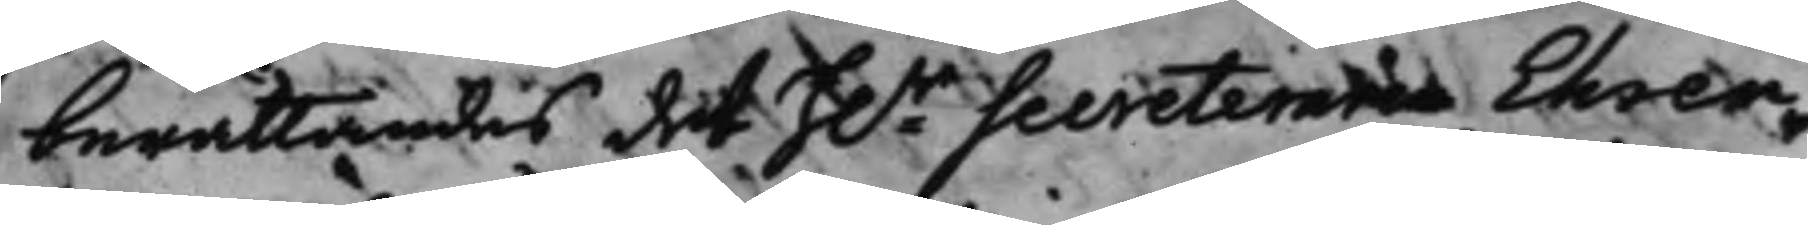berättandes det H.r Secreteraren Ehren¬
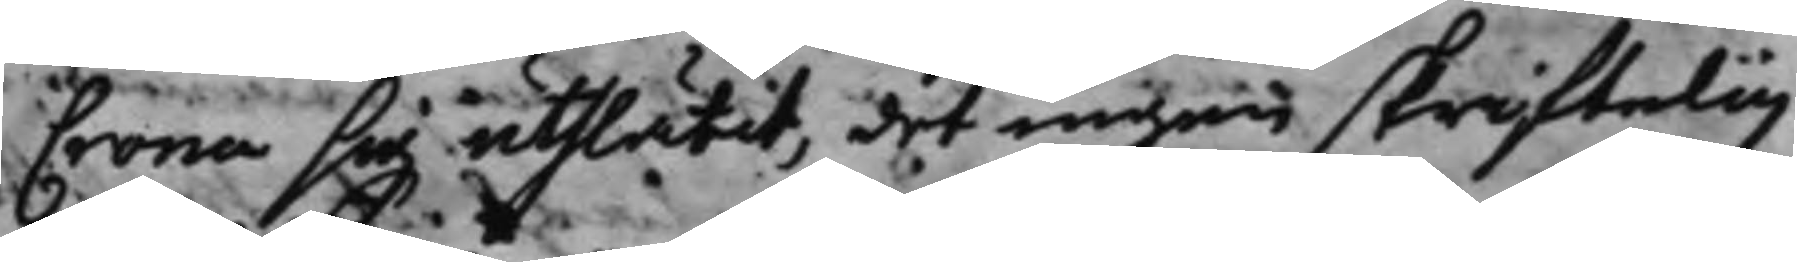Crona sig uthlåtit, det ingen skriftelig
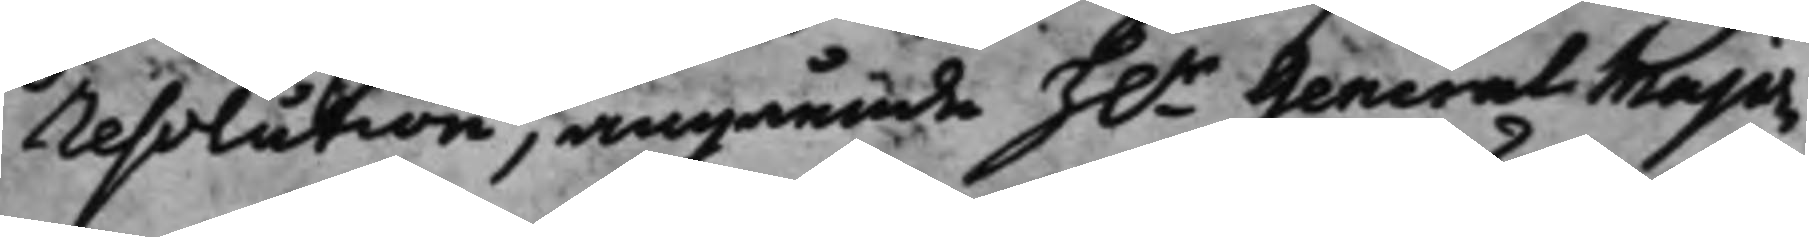resolution, angående h.r General Major¬
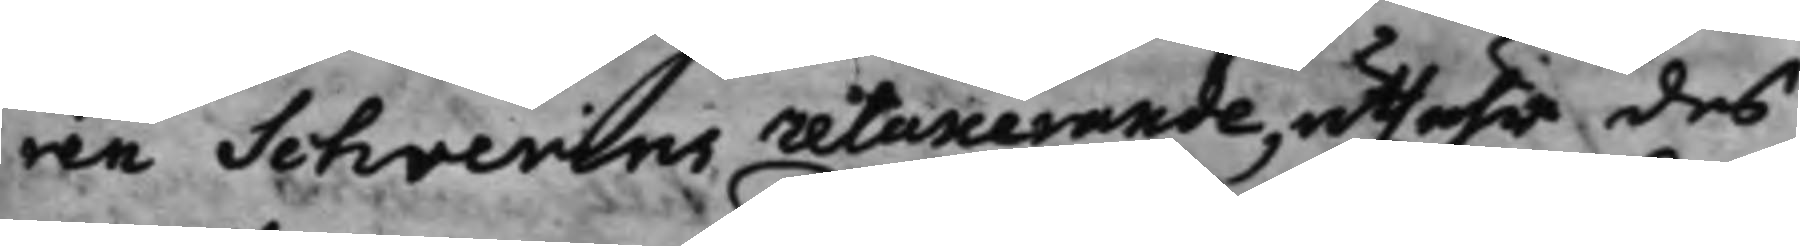ren Schverins relaxerande, uthuhr des
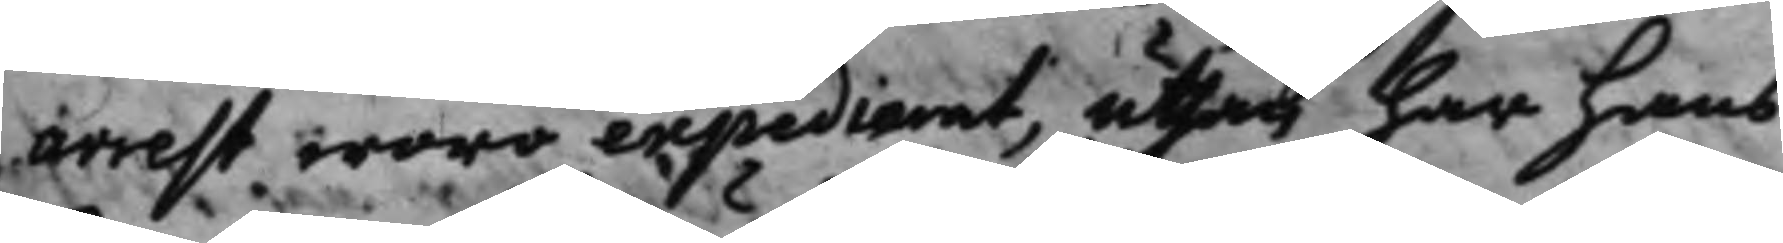arrest woro expedierat, uthan har hans
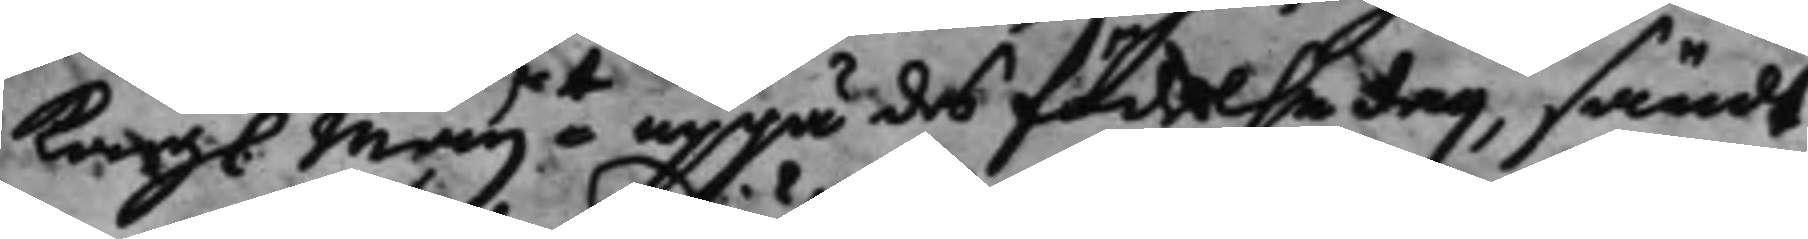Kong. Maijt uppå des födelse dag, sändt
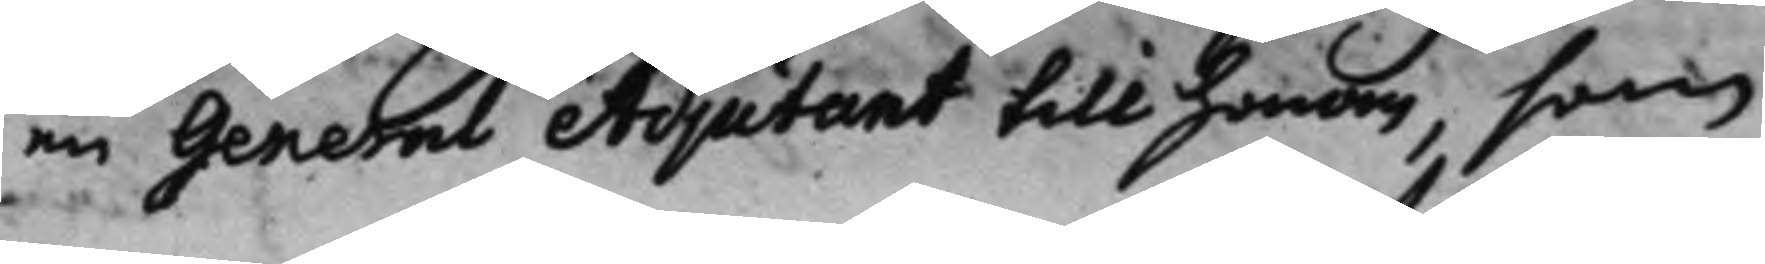en General Adjutant till honom, som
